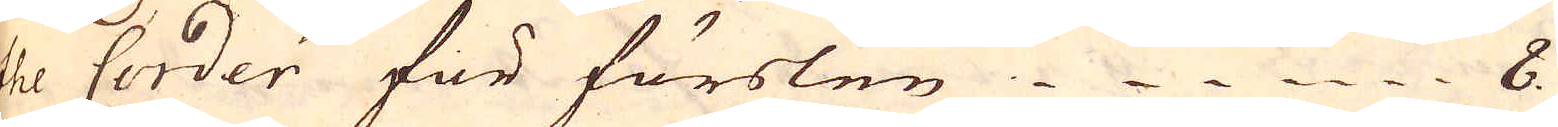the Corder för förslen 8
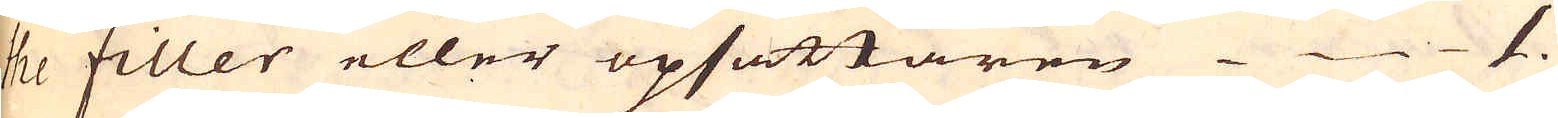the filler eller opsättaren 1.
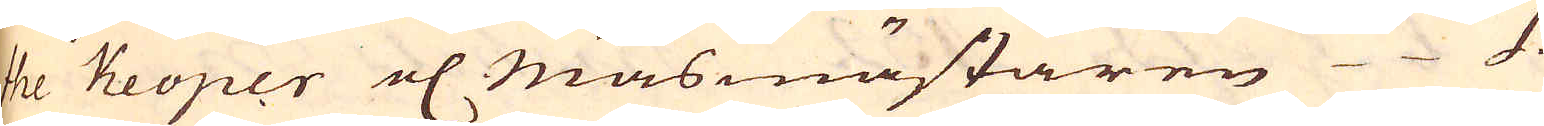the Keoper el Masmästaren 1.
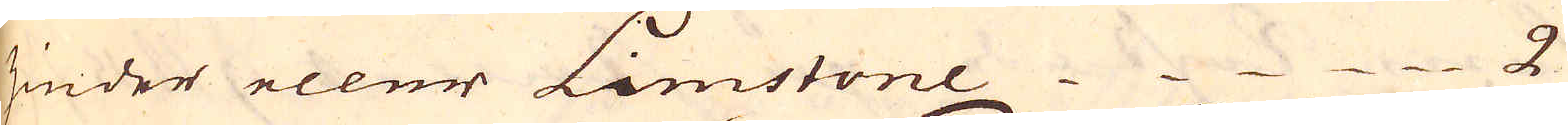zinder eller Limstone 2.
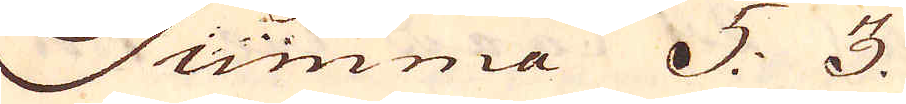Summa 5: 3.
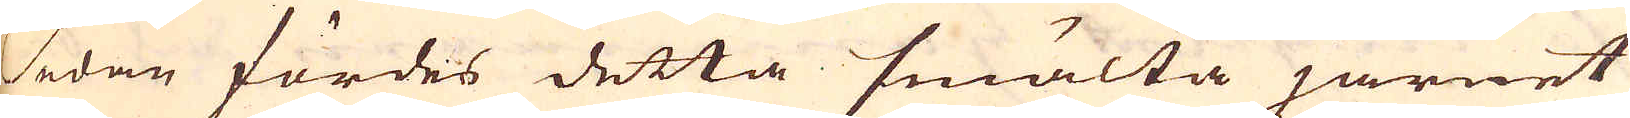Sedan fördes detta smälta järnet
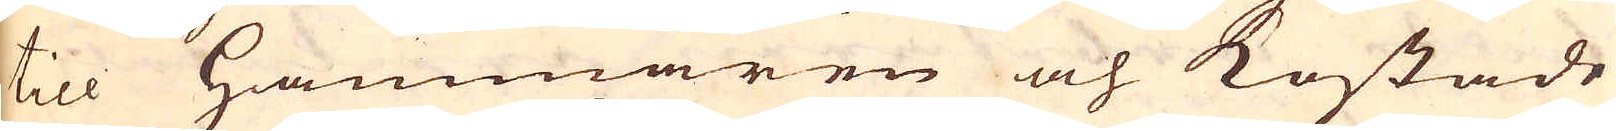till Hammaren och kostade
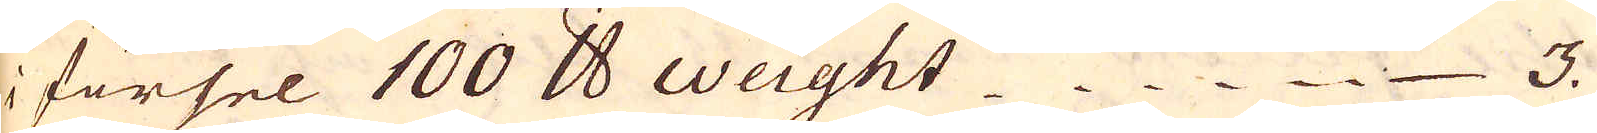i försel 100 skålpund Weight 3.
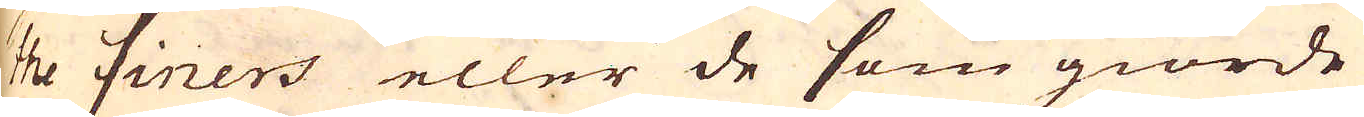the finers eller de som giorde
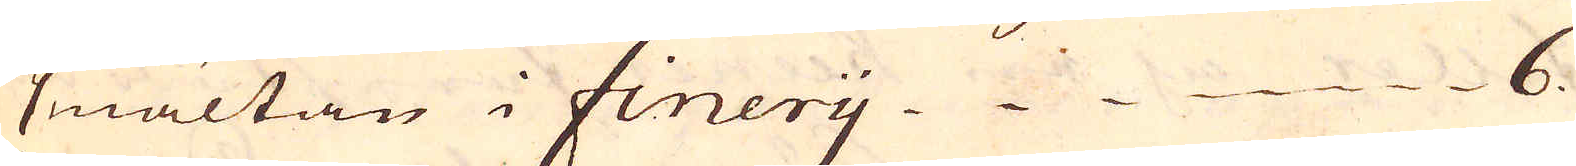smältan i Finery 6.
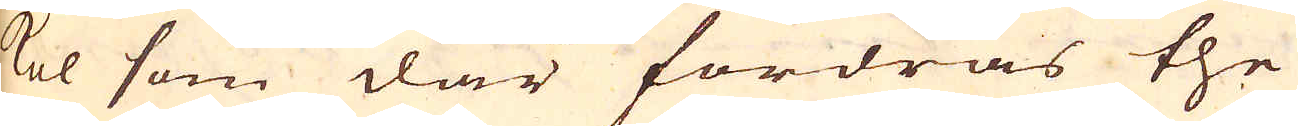kol som där fordras the
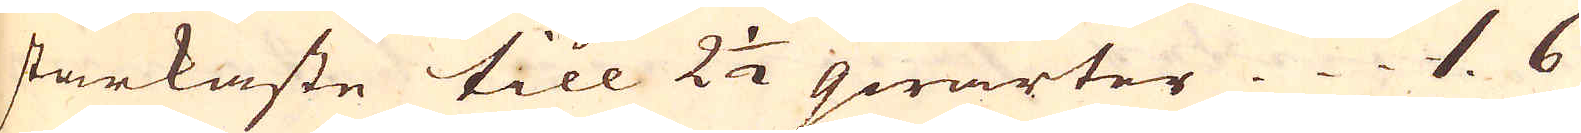starkaste till 2 1/2 qwarter. 1. 6
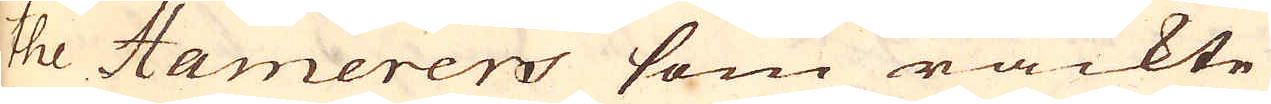the Hamerers som räckte
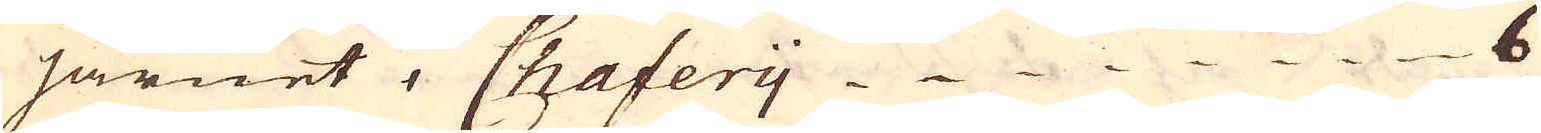järnet i Chafery 6
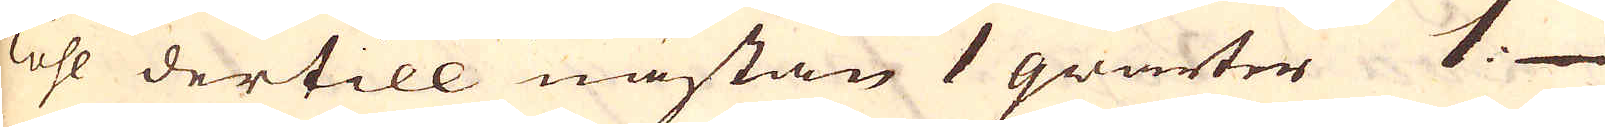kohl dertill nästan 1 qwarter 1:
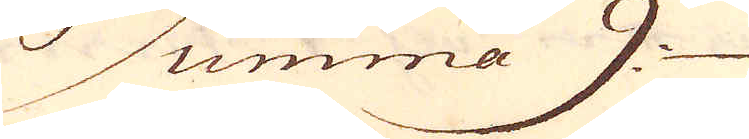Summa 9
